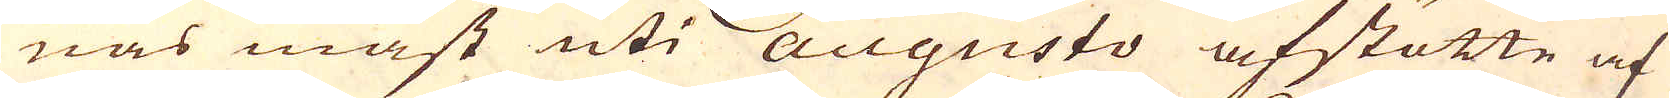nas mäst uti Auqusto afstötte af
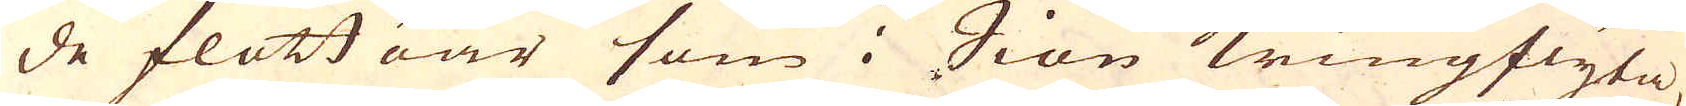de flott öar som i Siön kringflyta,
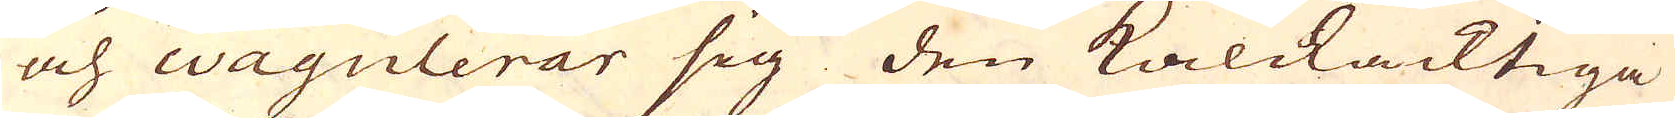och wagulerar sig den kalckacktiga
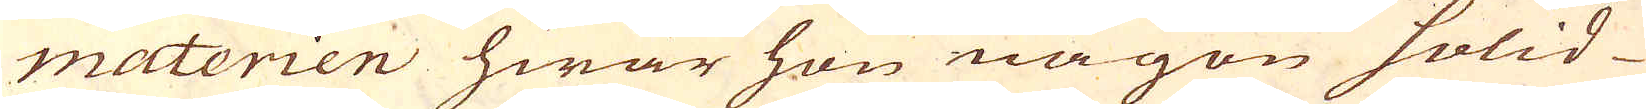materien hwar hon någon solid
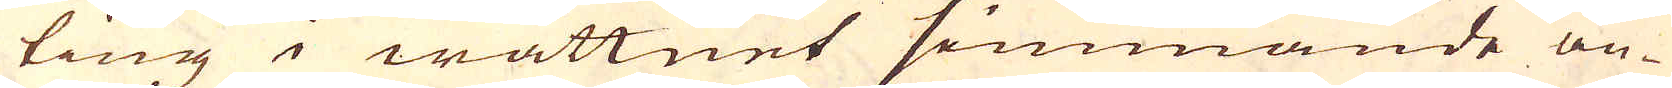ting i wattnet simmande an-
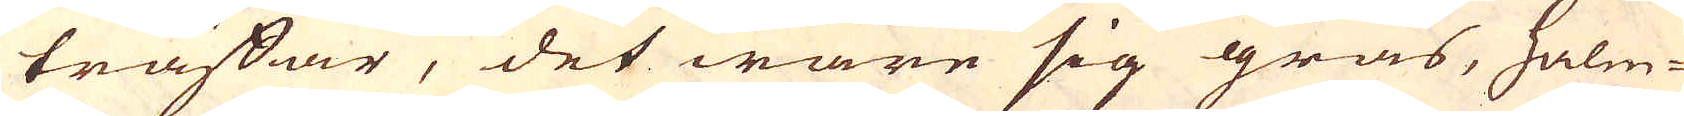träffar, det ware sig gräs, halm-
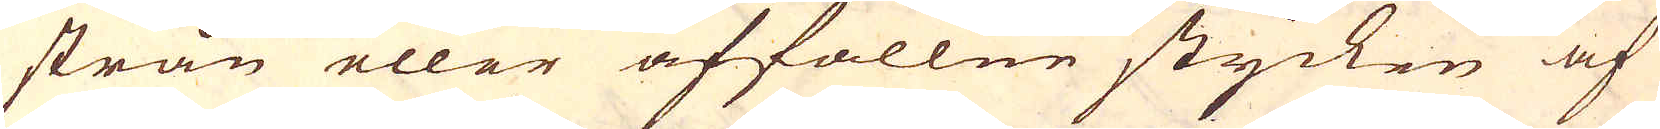strån eller affallne stycken af
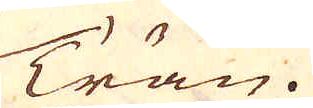Trän.
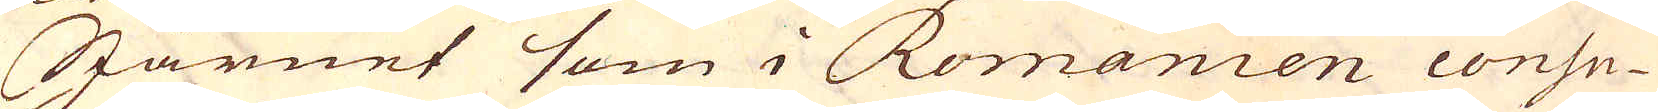Järnet som i Romanien consu-
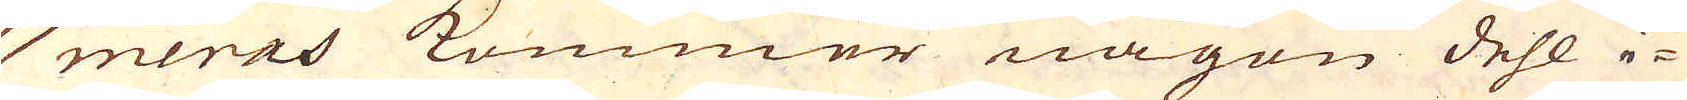meras kommer någon dehl i-
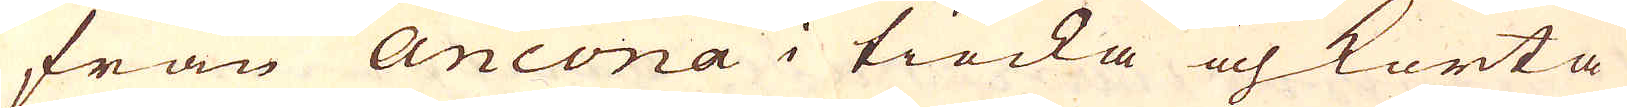från Ancona i tiocka och korta
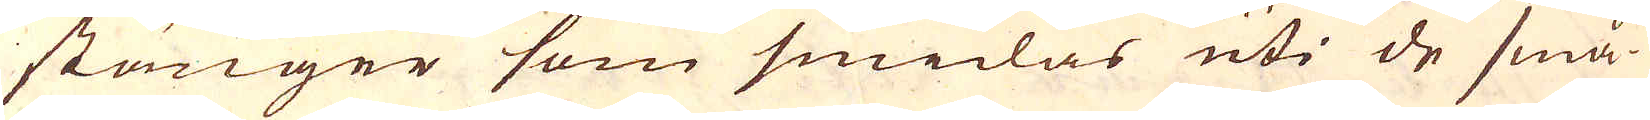stänger som smidas uti de små
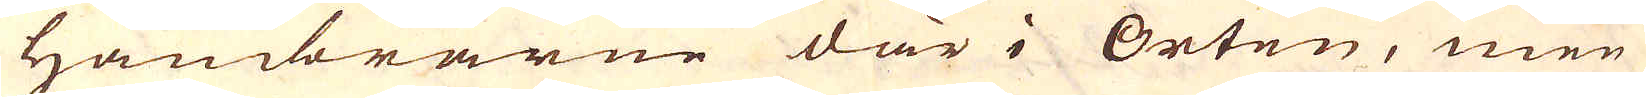Hambrarne där i Orten, men
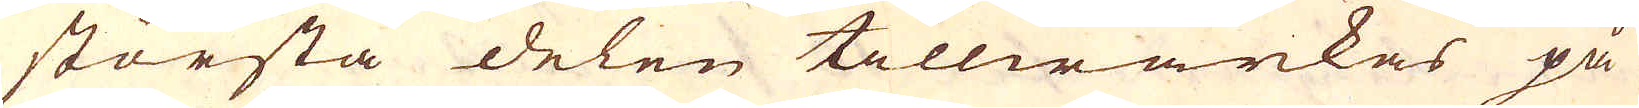största delen tillwärkas på
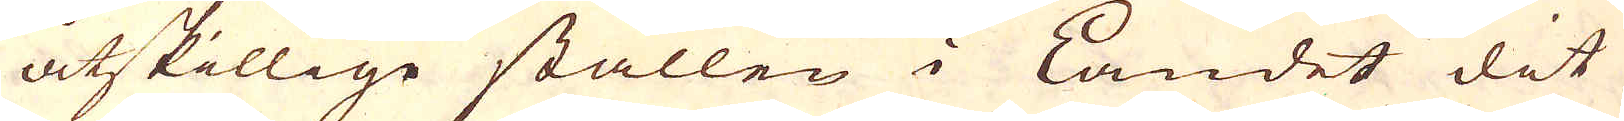åtskillige ställen i Landet dit
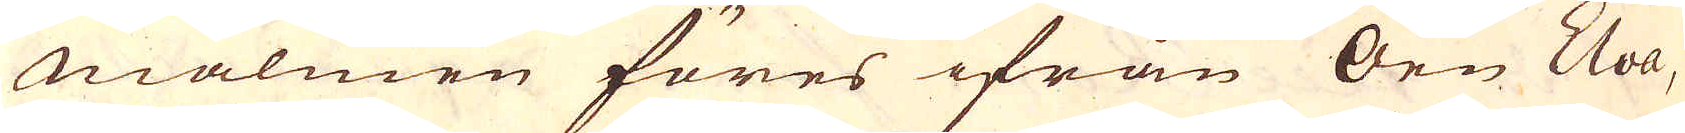Malmen föres ifrån Öen Elva,
